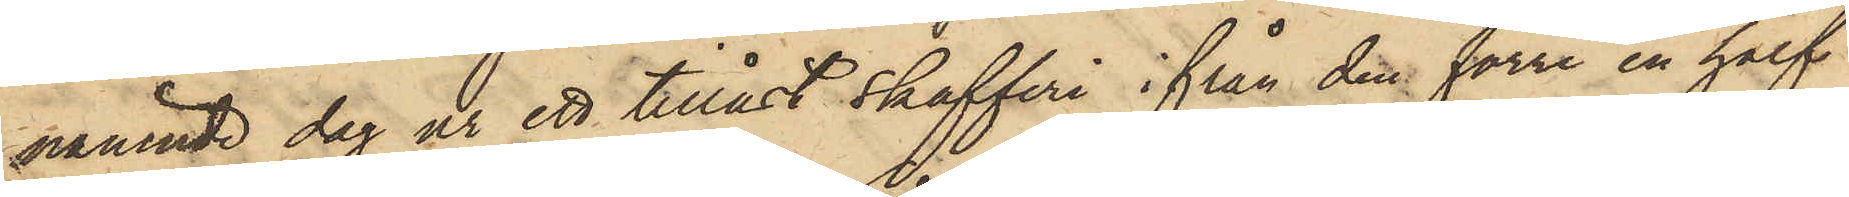nämnde dag ur ett tillåst skafferi ifrån den förre en half
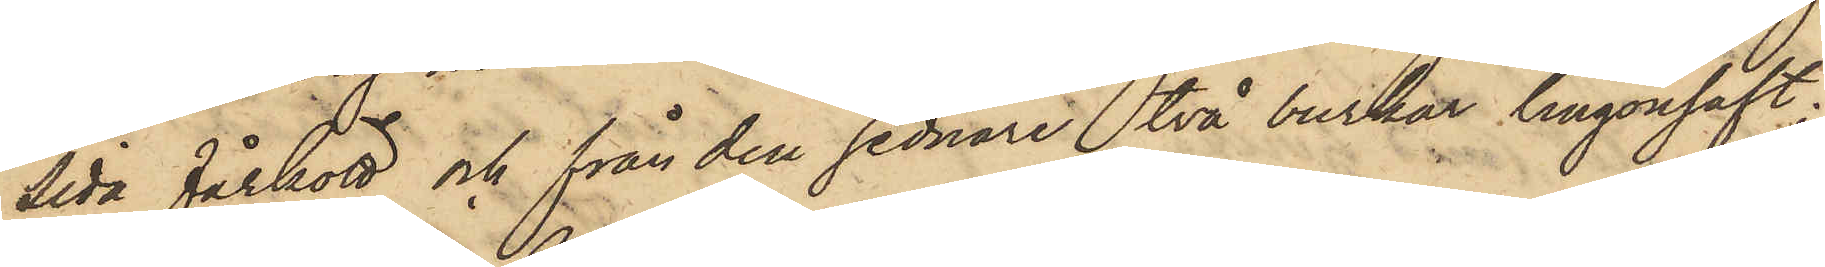sida fårkött och från den sednare två burkar lingonsaft;
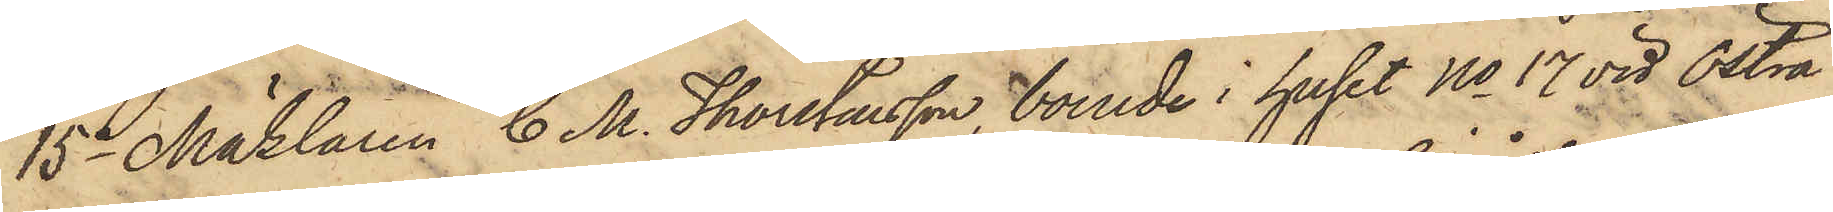15o Mäklaren C. M. Thorstensson, boende i huset No 17 vid Östra
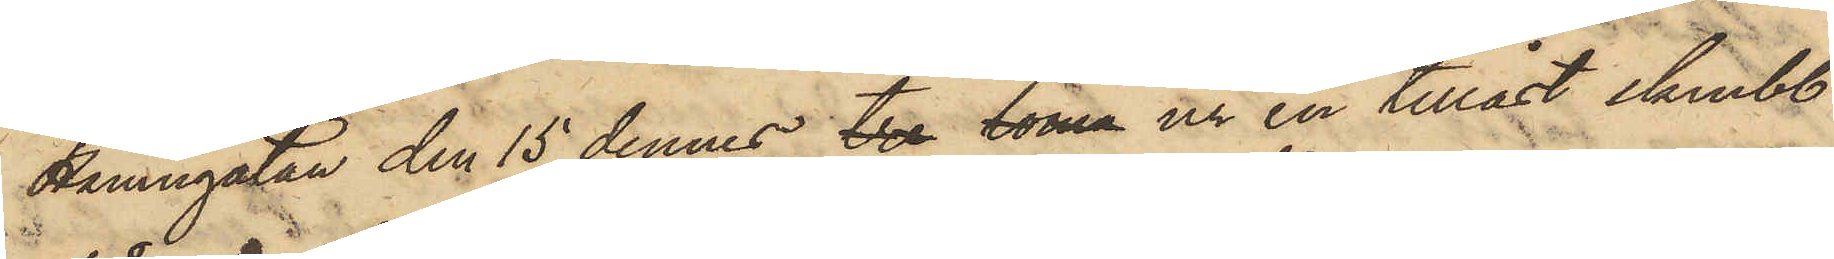Hamngatan den 15 dennes tre toma ur en tillåst skrubb
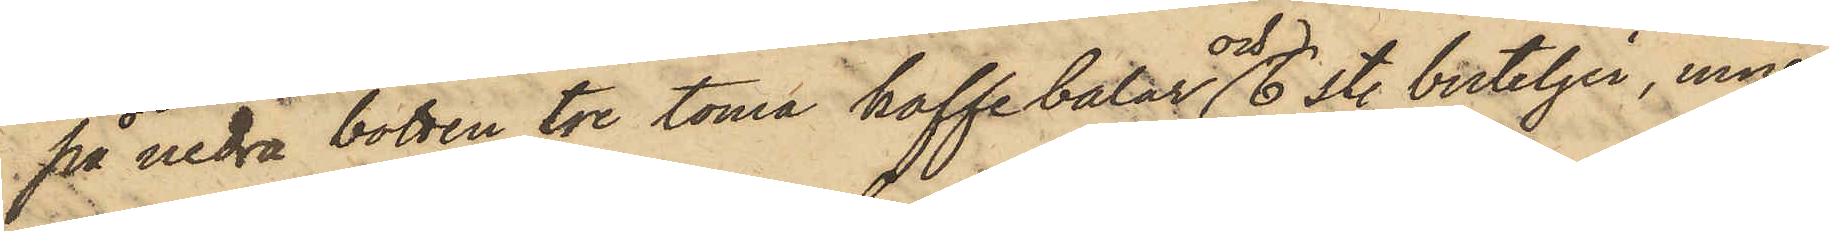på nedra botten tre toma kaffebalar och 6 st. buteljer, inne¬
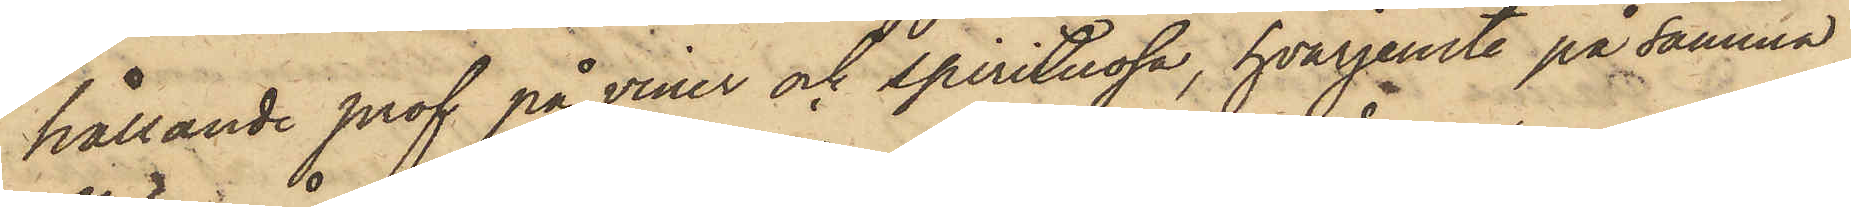hållande prof på viner och spirituosa, hvarjemte på samma
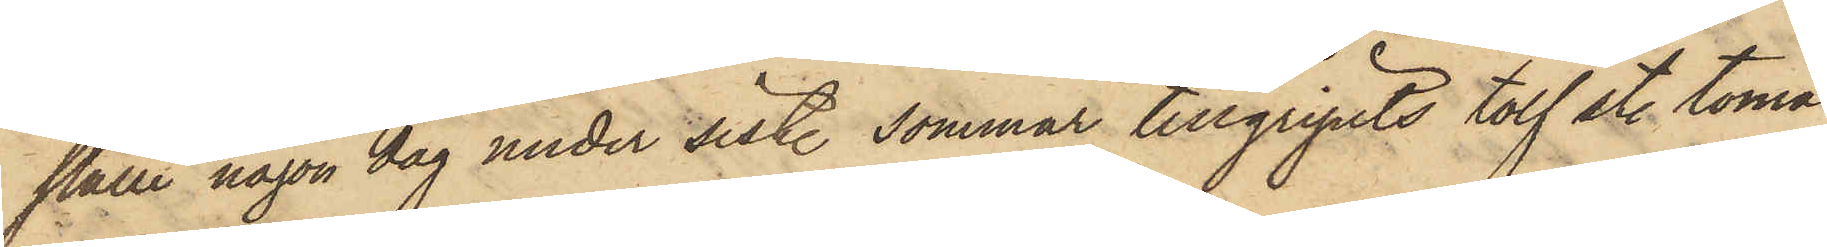ställe någon dag under sist. sommar tillgripits tolf st. toma
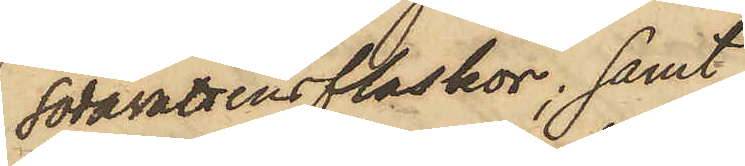Sodavattensflaskor; samt
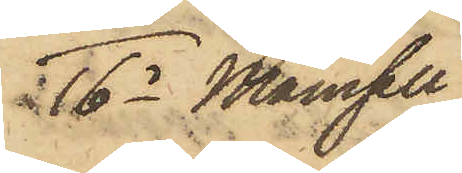16o Mamsell
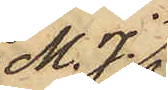M. J.
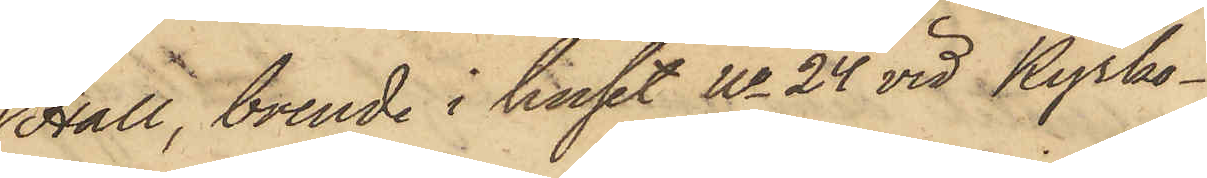Hall, boende i huset No 24 vid Kyrko¬
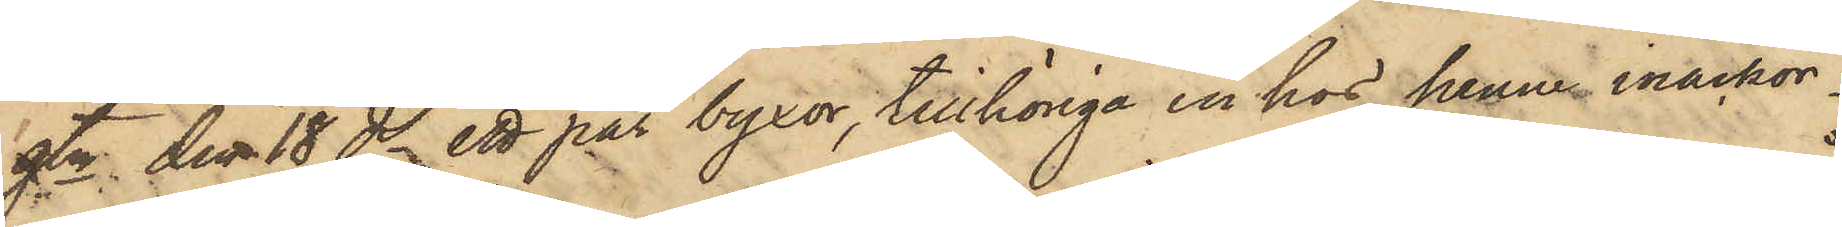gtn den 18 ds ett par byxor, tillhöriga en hos henne inackor¬
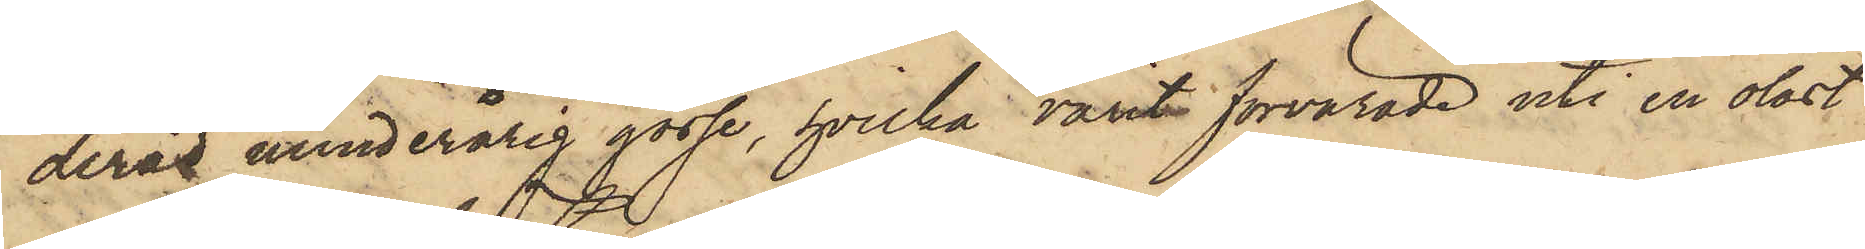derad minderårig gosse, hvilka varit förvarade uti en olåst
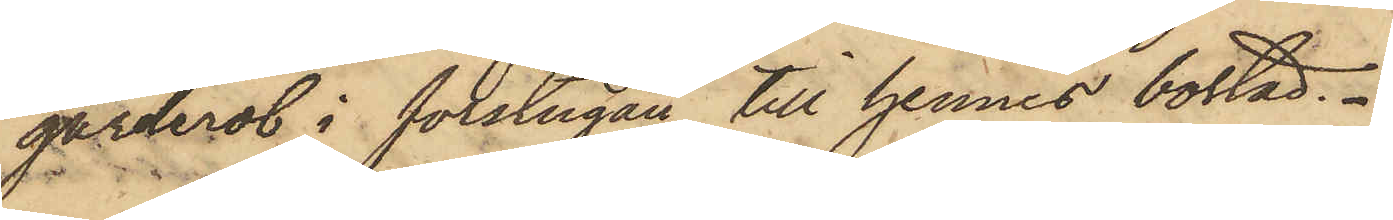garderob i förstugan till hennes bostad.
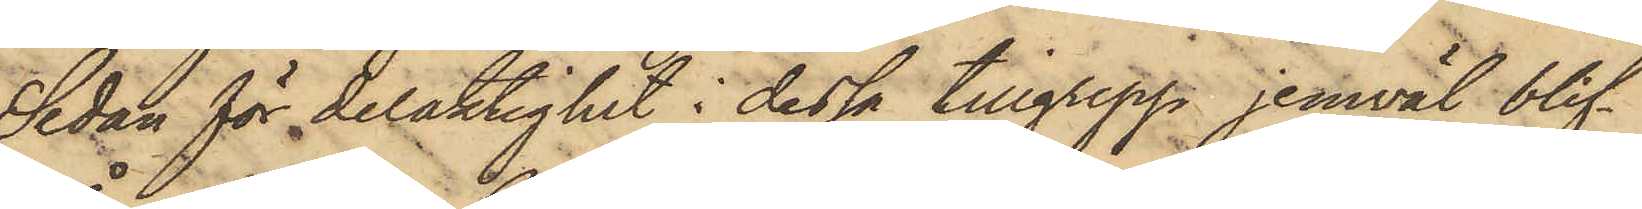Sedan för delaktighet i dessa tillgrepp jemväl blif¬
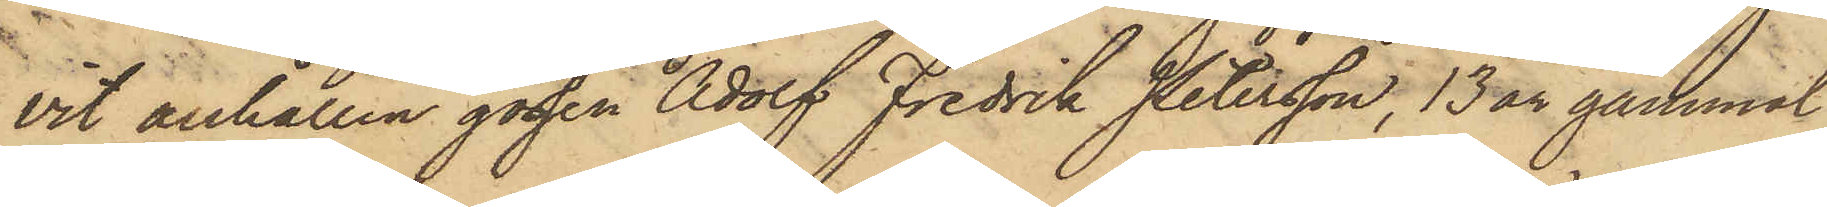vit anhållen gossen Adolf Fredrik Petersson, 13 år gammal
